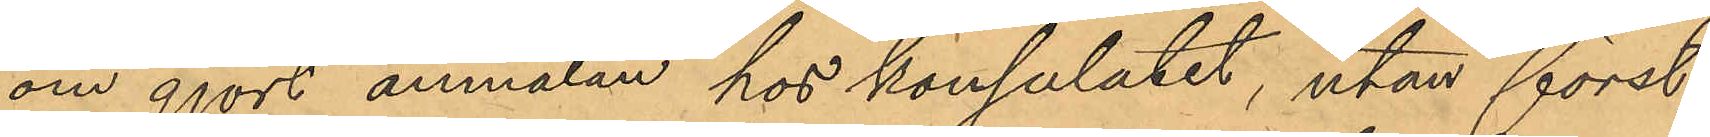om gjort anmälan hos konsulatet, utan först
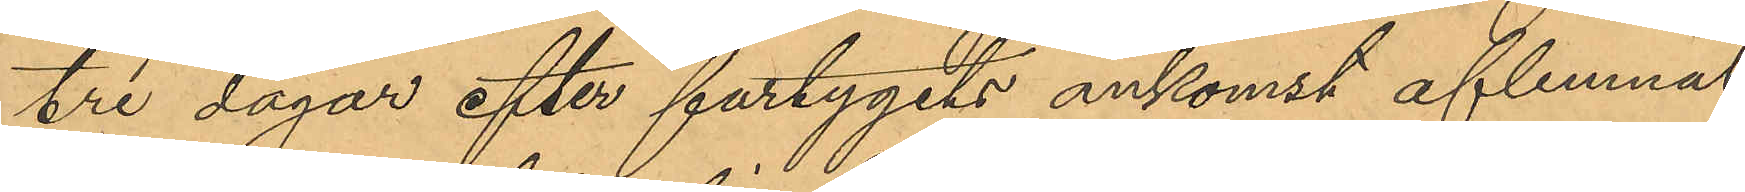tre dagar efter fartygets ankomst aflemnat
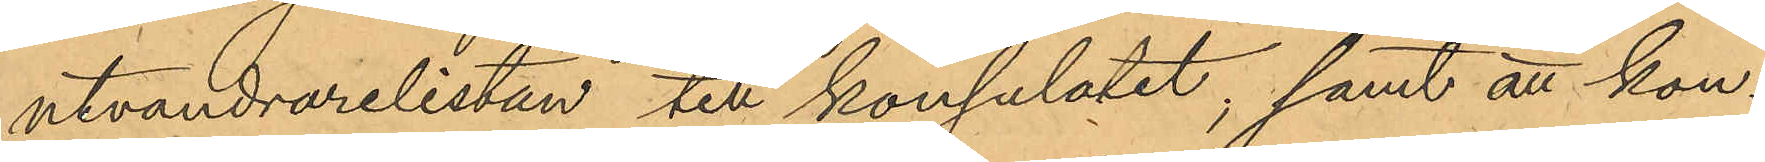utvandrarelistan till konsulatet; samt att kon¬
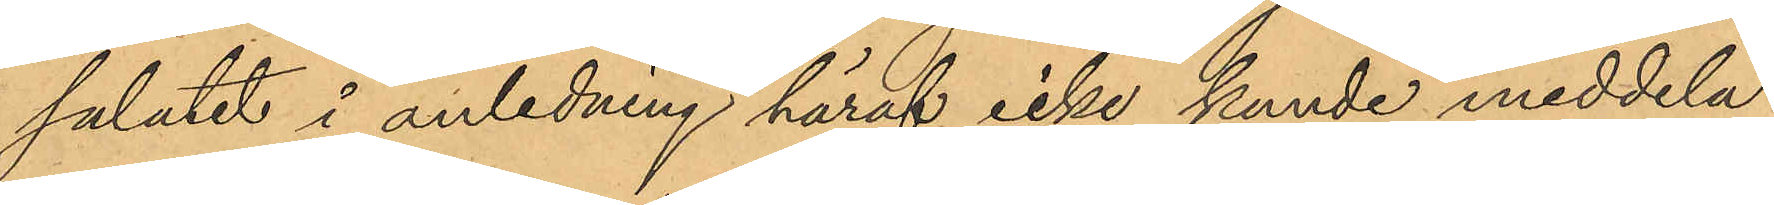sulatet i anledning häraf icke kunde meddela
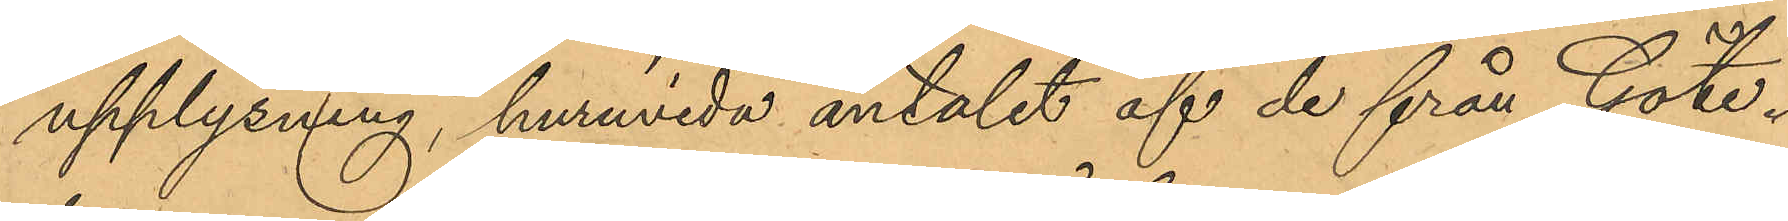upplysning huruvida antalet af de från Göte¬
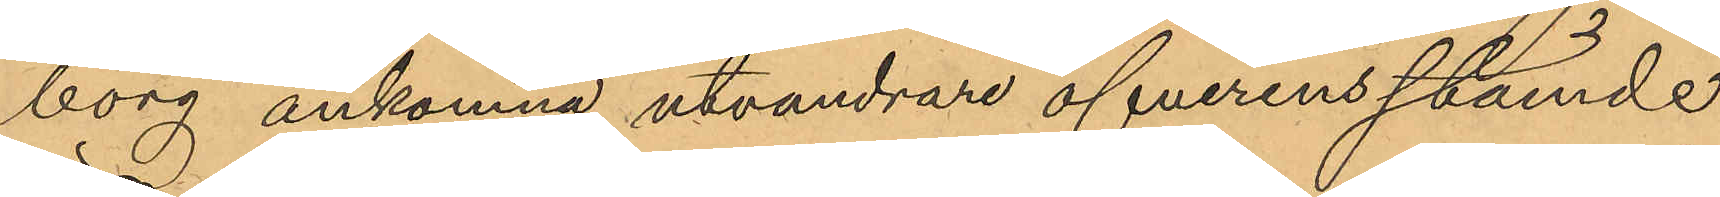borg ankomna utvandrare öfverensstående
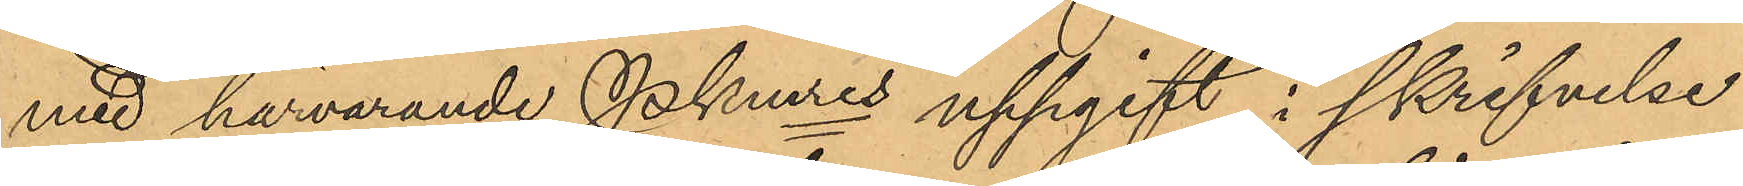med härvarande Pkmres uppgift i skrifvelse
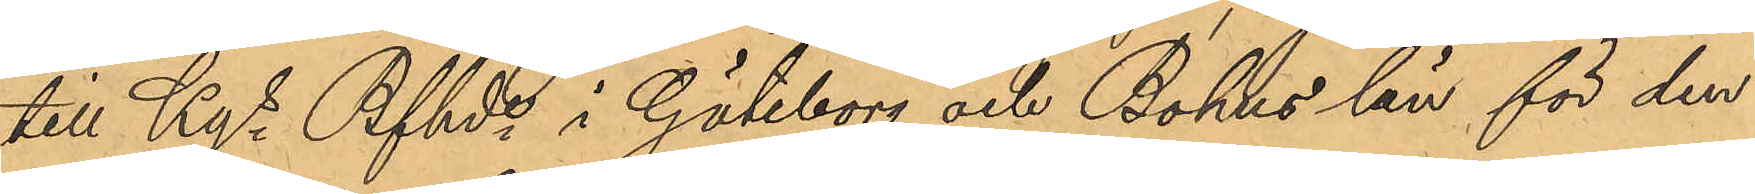till Kgs Bfhde i Göteborg och Bohus län för den
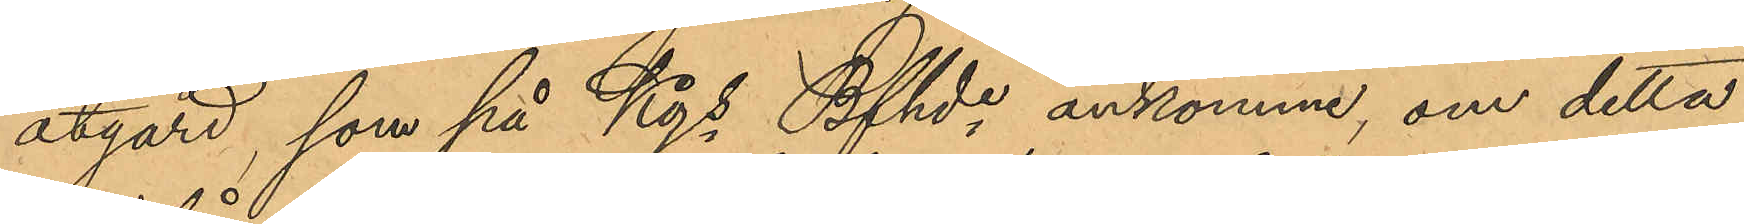åtgärd, som på Kgs Bfhde ankomme, om detta
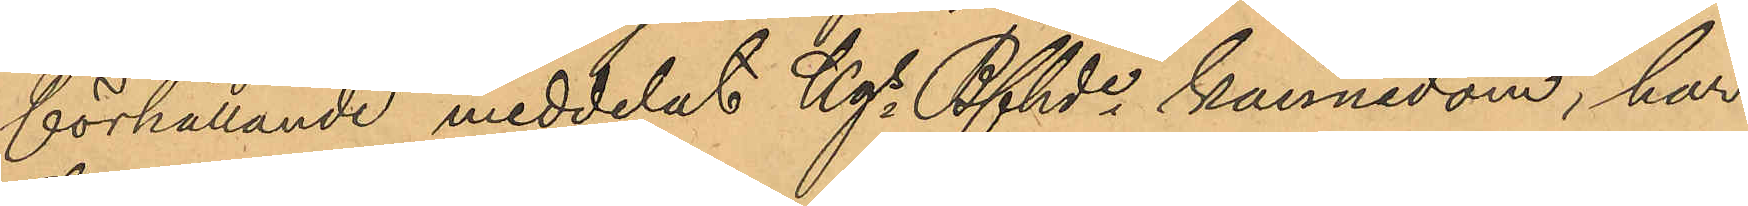förhållande meddelat Kgs Bfhde kännedom, har
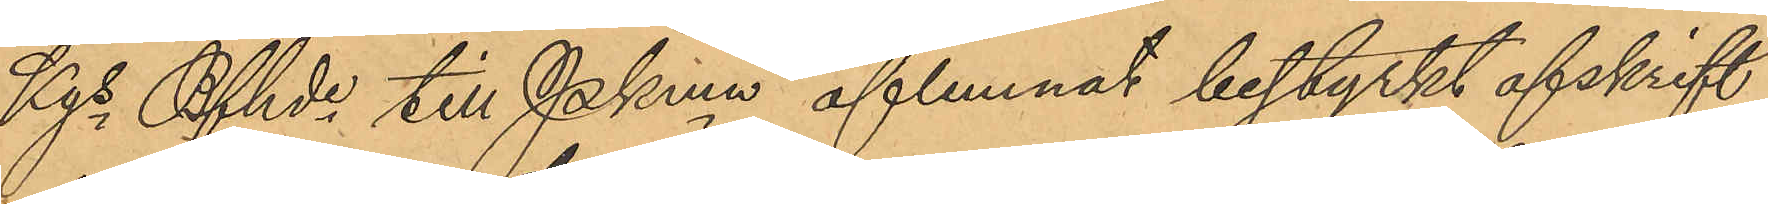Kgs Bfhde till Pkmn aflemnat bestyrkt afskrift
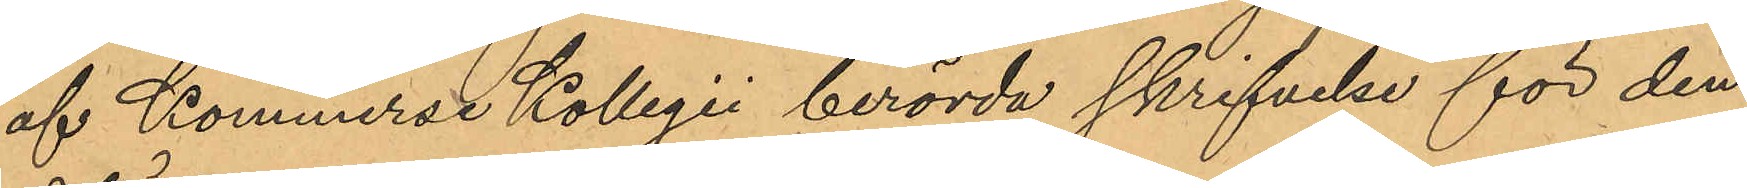af Kommerse Kollegii berörda skrifvelse för den
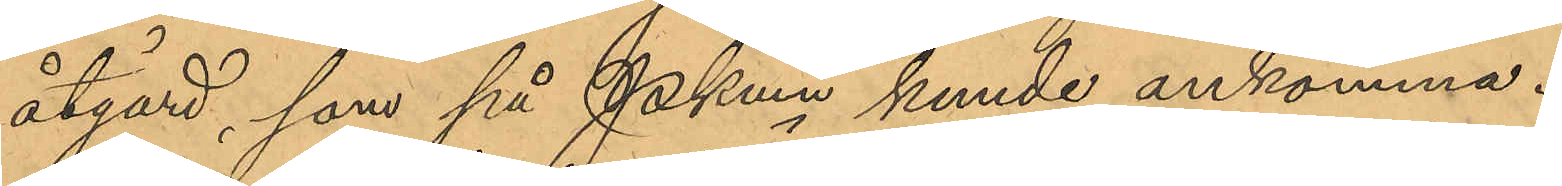åtgärd, som på Pkmn kunde ankomma.
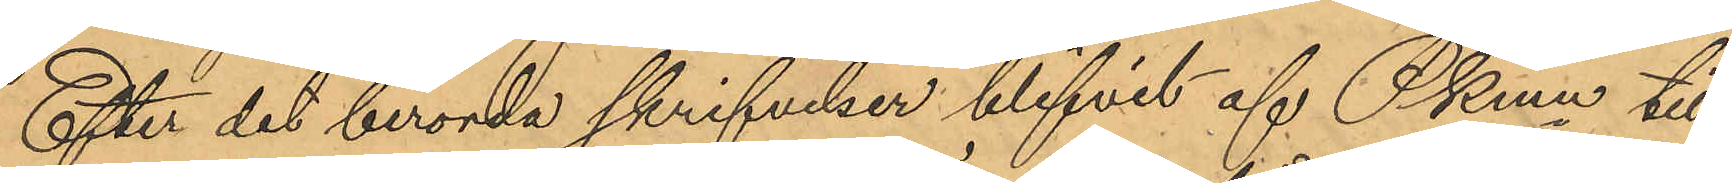Efter det berörda skrifvelser blifvit af Pkmn till
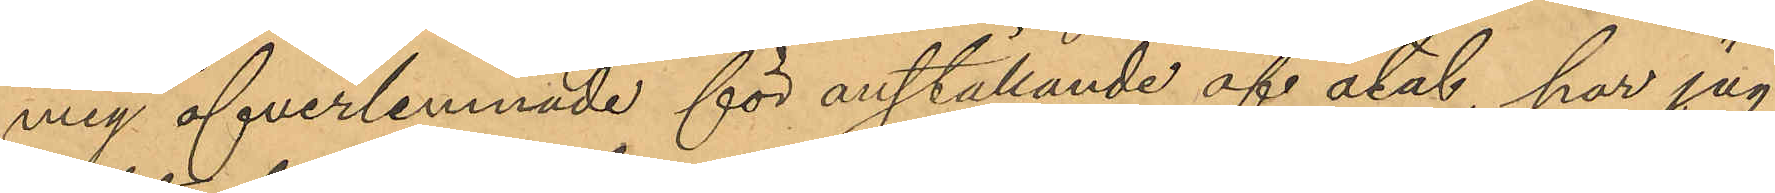mig öfverlemnade för anställande af åtal, har jag
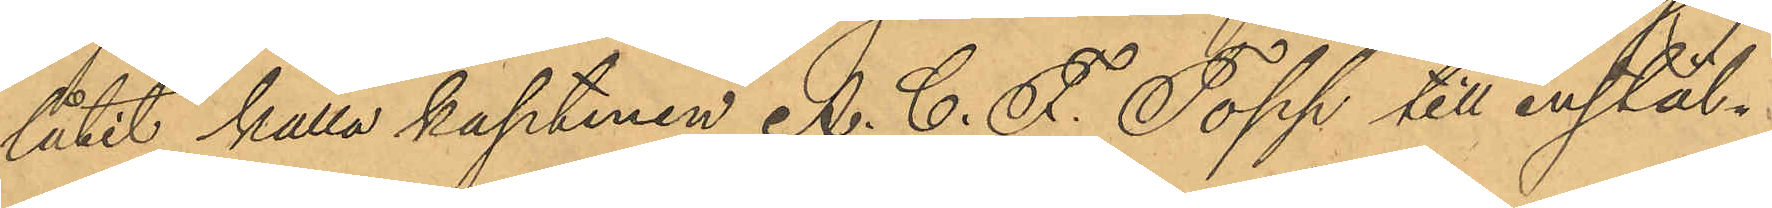låtit kalla kaptenen A. C. F. Topp till instäl¬
